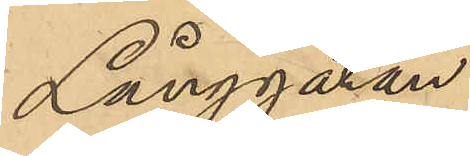Långgatan.
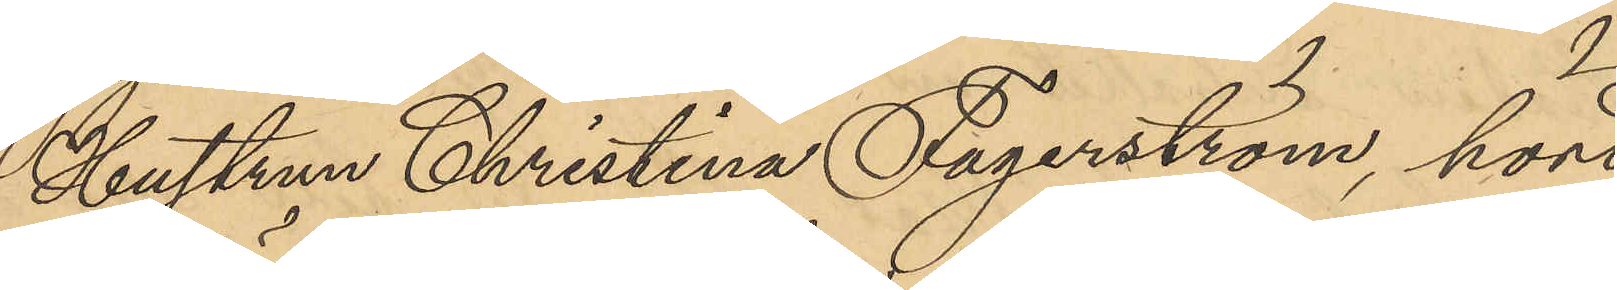Hustrun Christina Fagerström, hörd
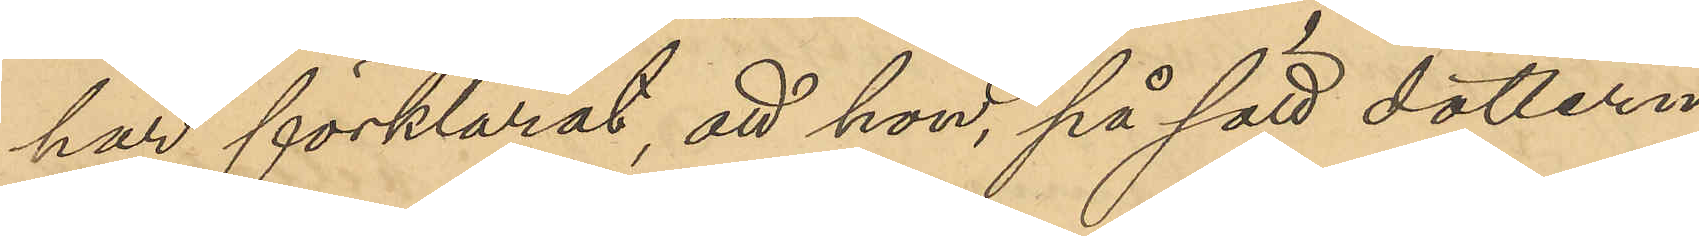har förklarat att hon, på sätt dottern
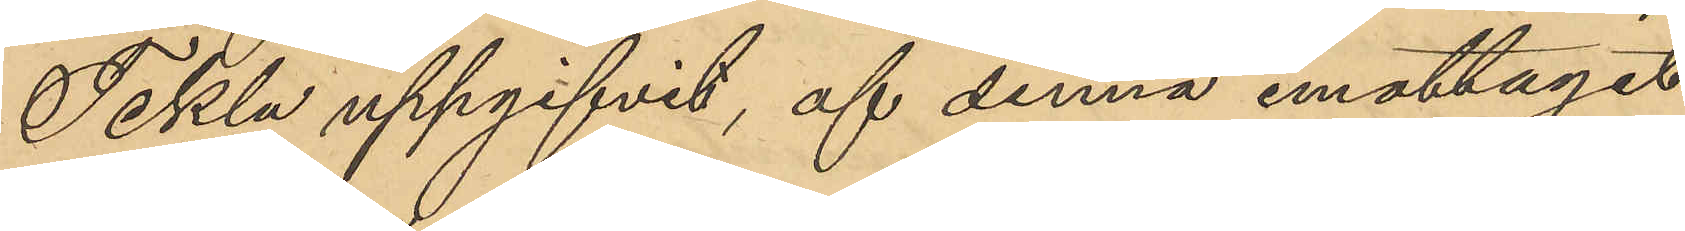Tekla uppgifvit, af denna emottagit
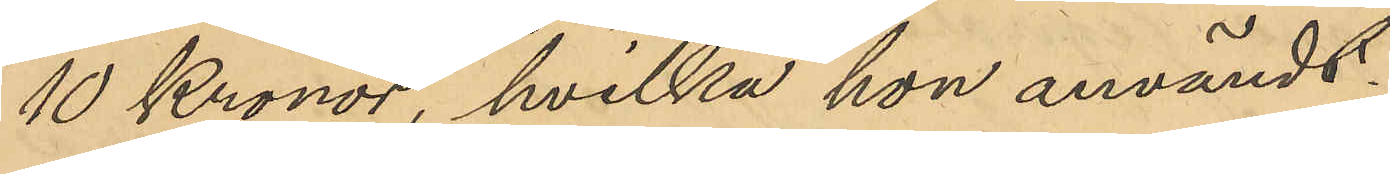10 Kronor, hvilka hon användt.
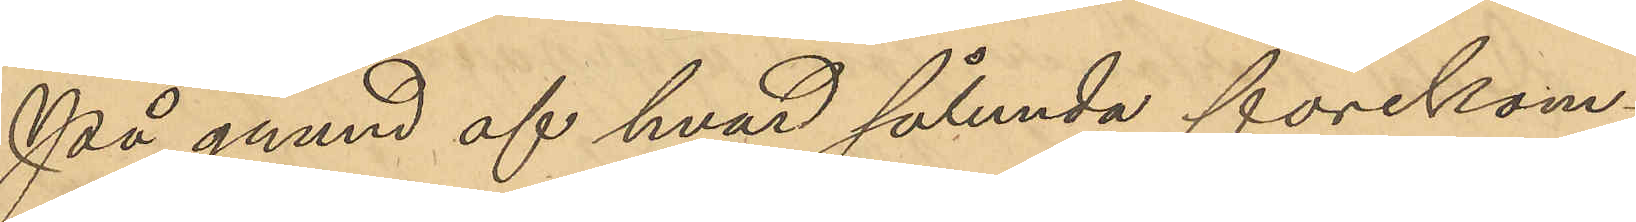På grund af hvad sålunda förekom¬
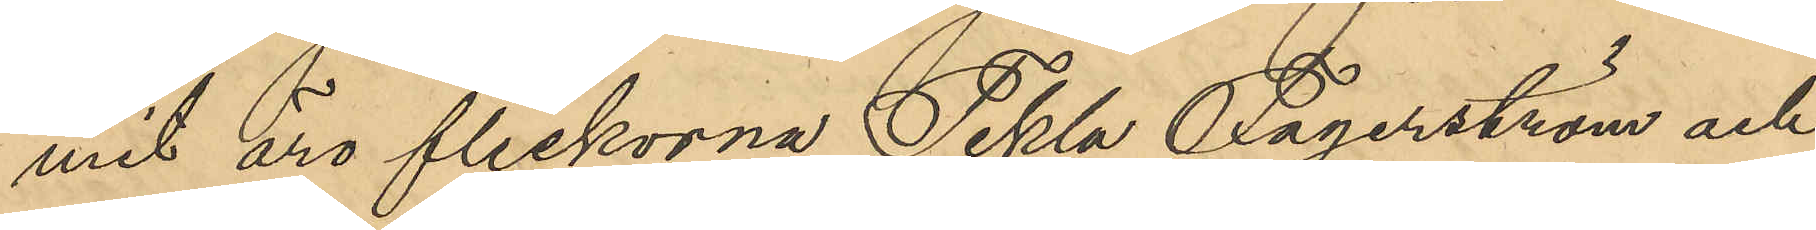mit äro flickorna Tekla Fagerström och
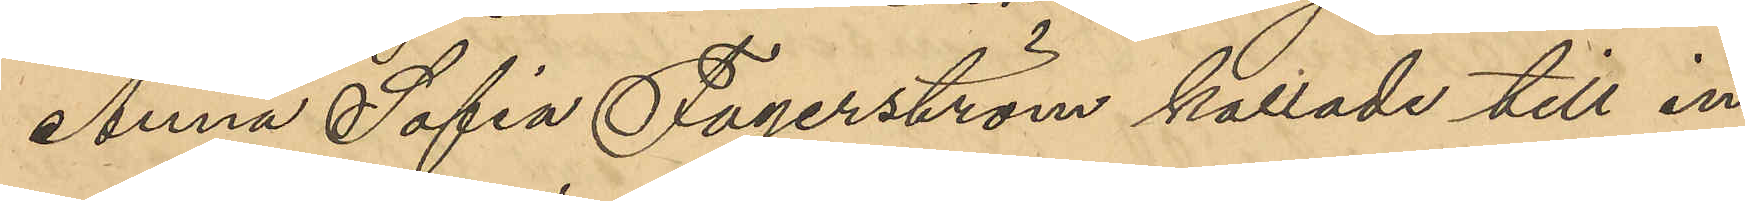Anna Sofia Fagerström kallade till in¬
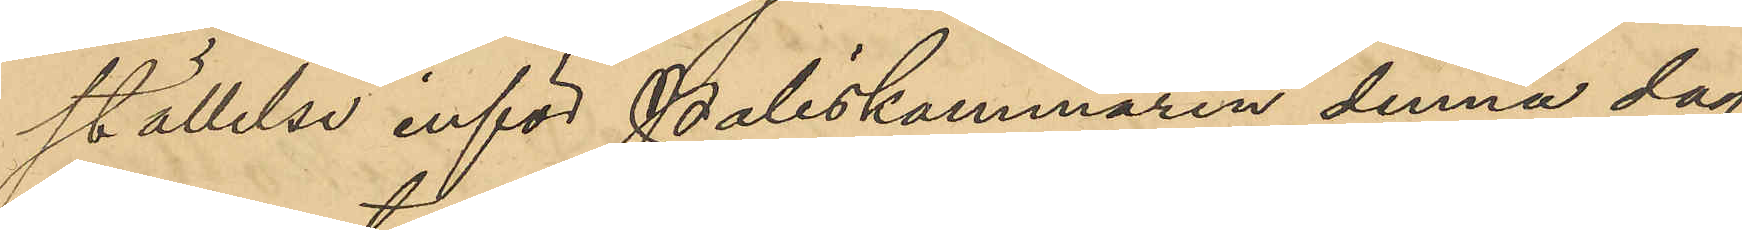ställelse inför Poliskammaren denna dag,
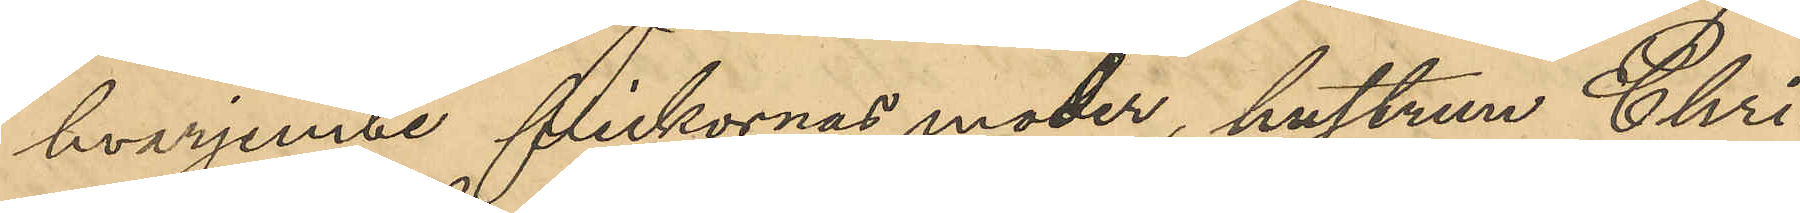hvarjemte flickornas moder, hustrun Chri¬
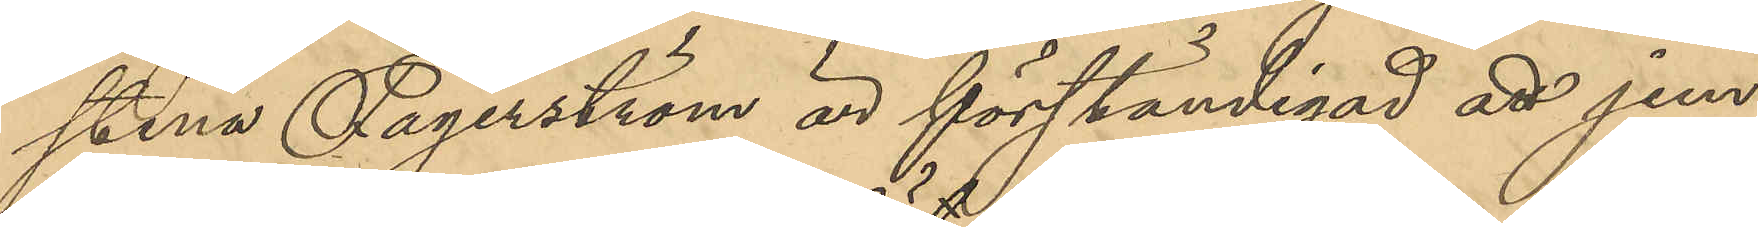stina Fagerström är förständigad att jem¬
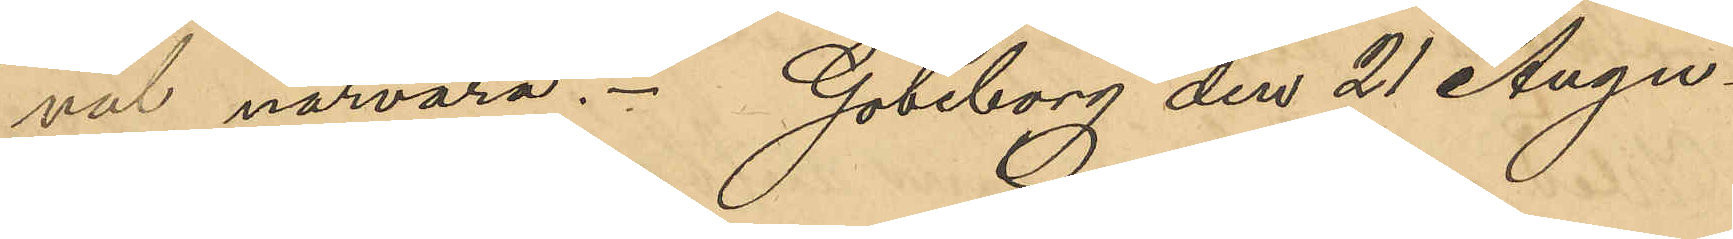väl närvara. Göteborg den 21 Augu¬
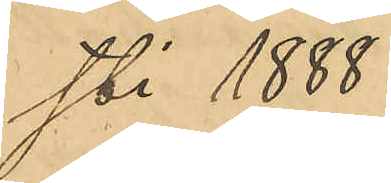sti 1888.
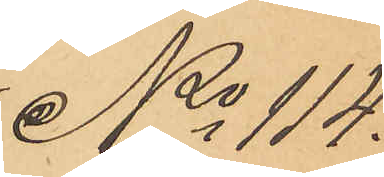No 114.
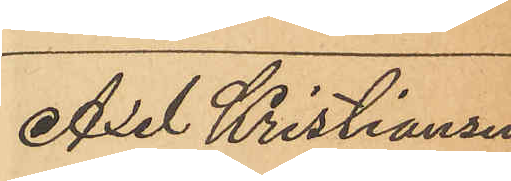Axel Kristiansen
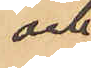och
